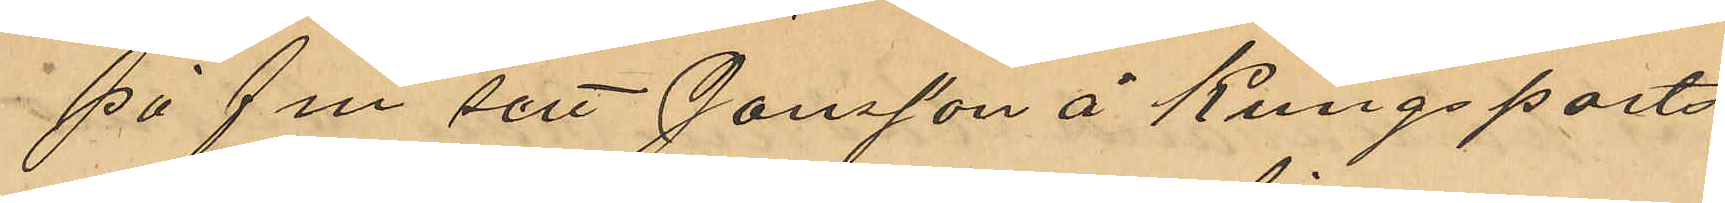på f m sett Jonsson å Kungsports¬
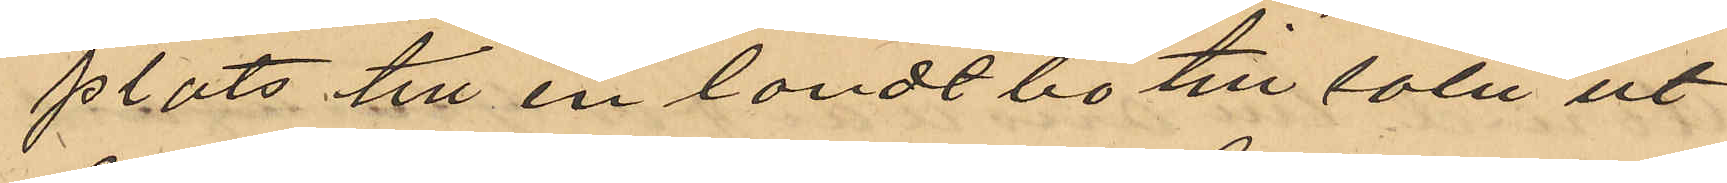plats till en landtbo till salu ut¬
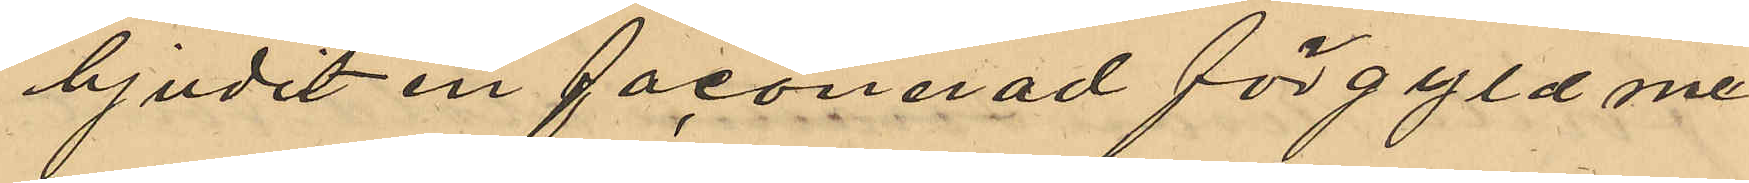bjudit en faconerad förgyld me¬
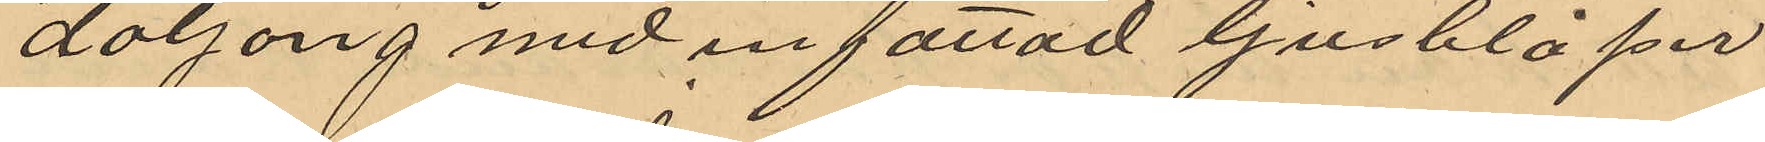daljong med infattad ljusblå per
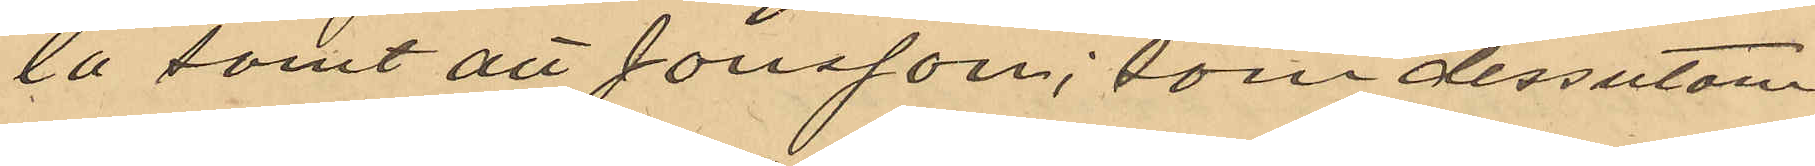la samt att Jonsson, som dessutom
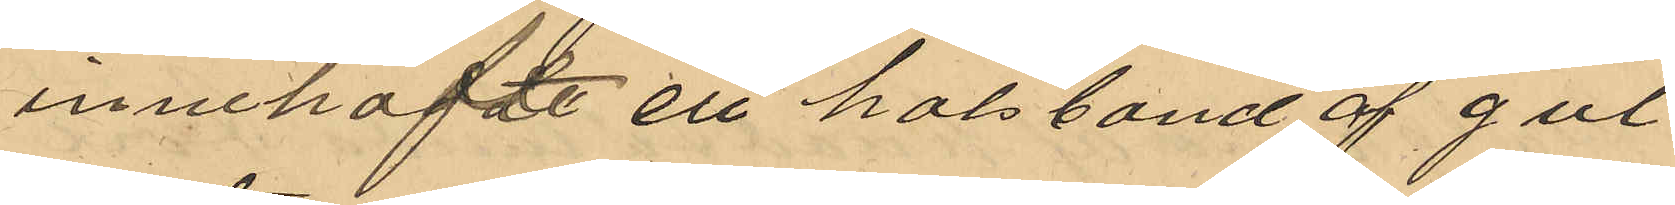innehaft en halsband af gul
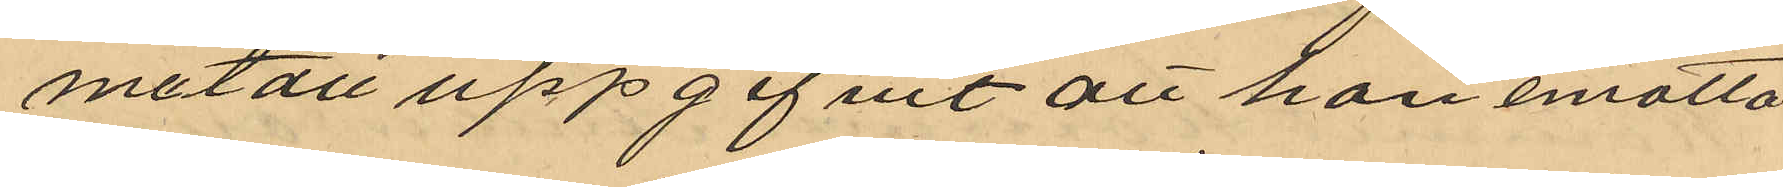metall uppgifvit att han emotta¬
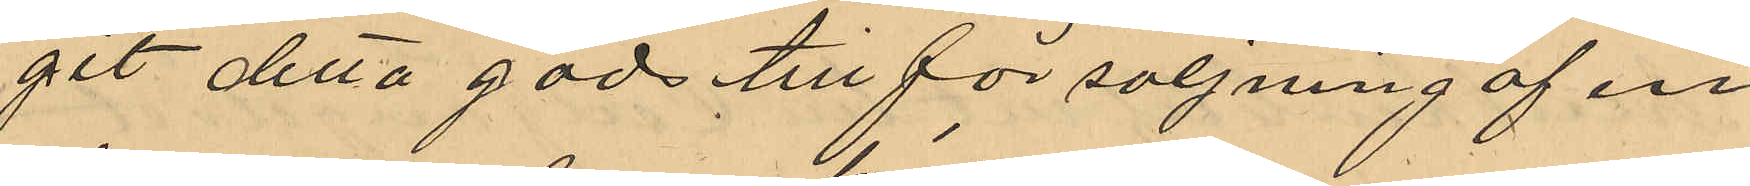git detta gods till försäljning af en
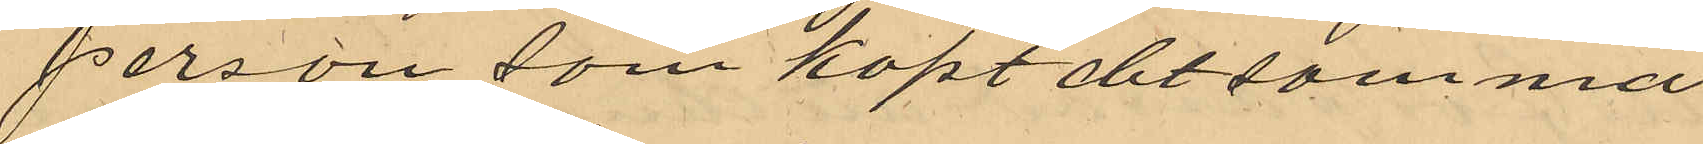person som köpt det samma
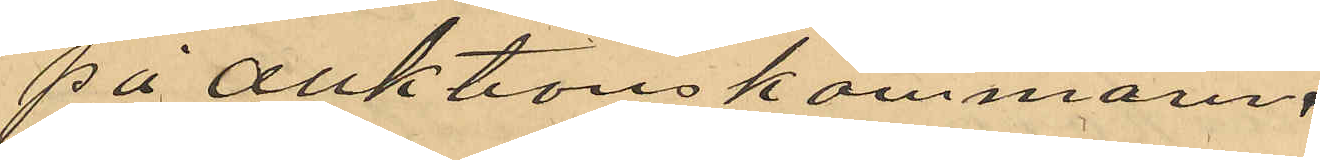på auktionskammaren
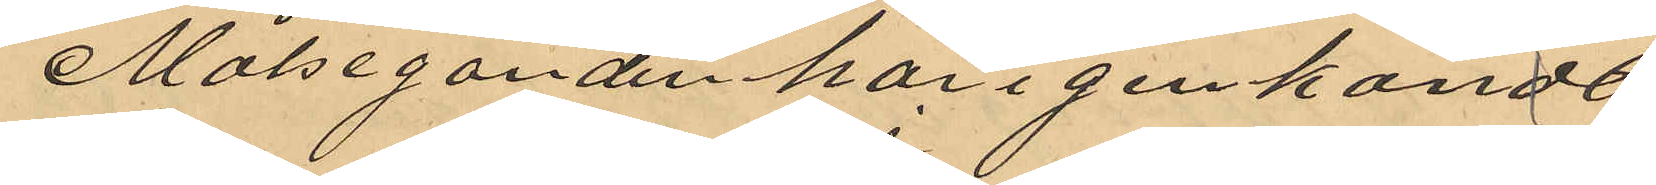Målseganden har igenkändt
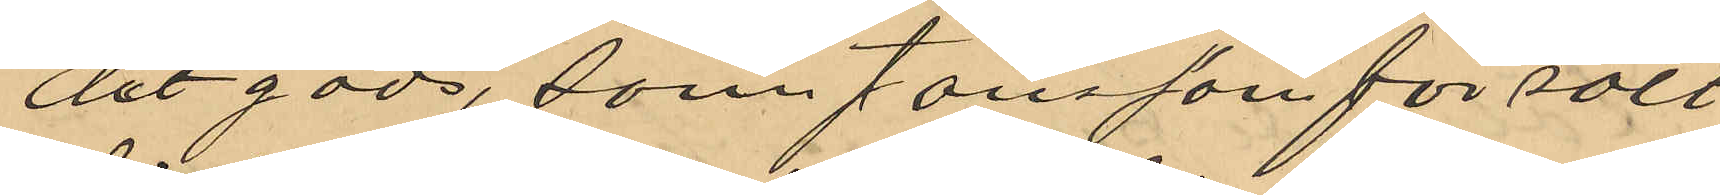det gods, som Jonsson försålt
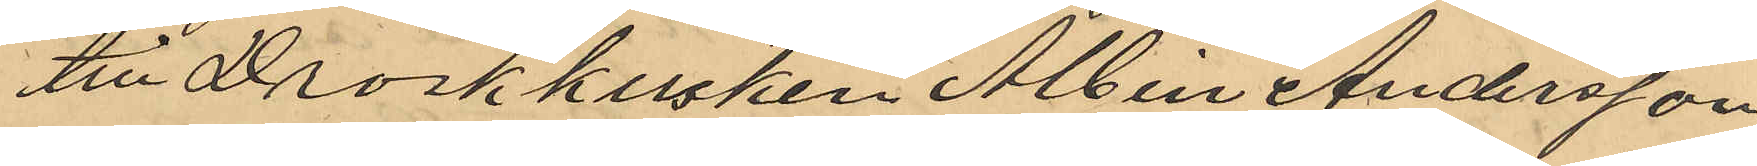till Droskkusken Albin Andersson
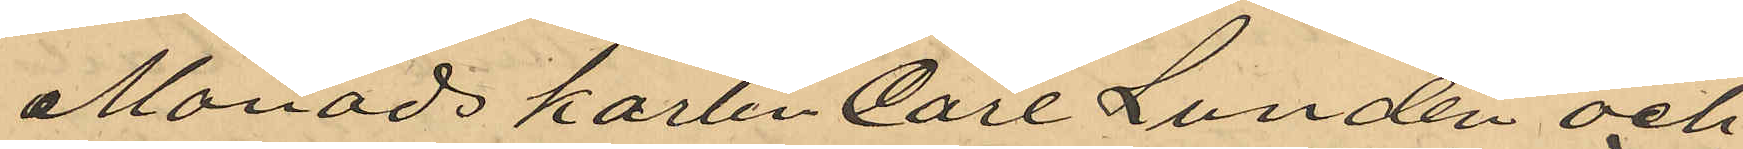Månadskarlen Carl Lundén och
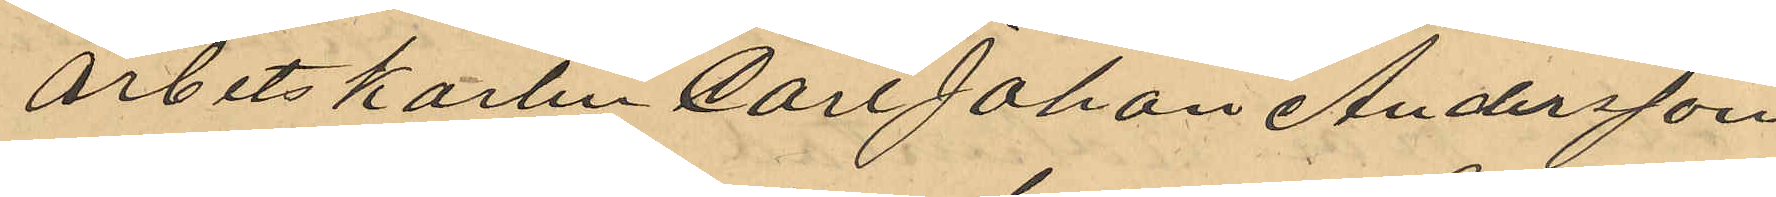arbetskarlen Carl Johan Andersson
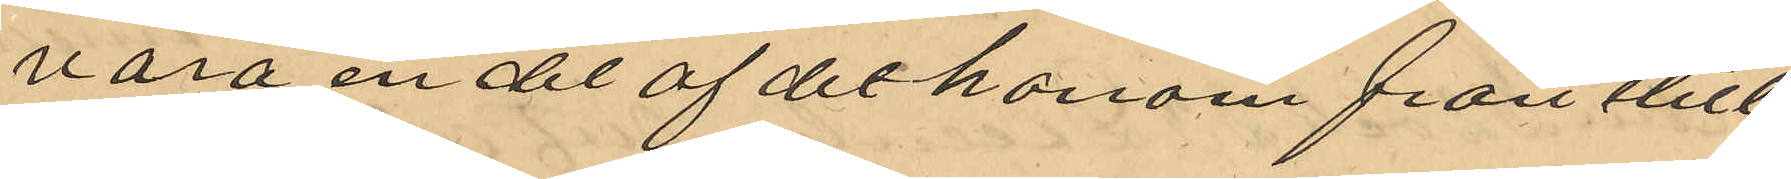vara en del af det honom frånstul
